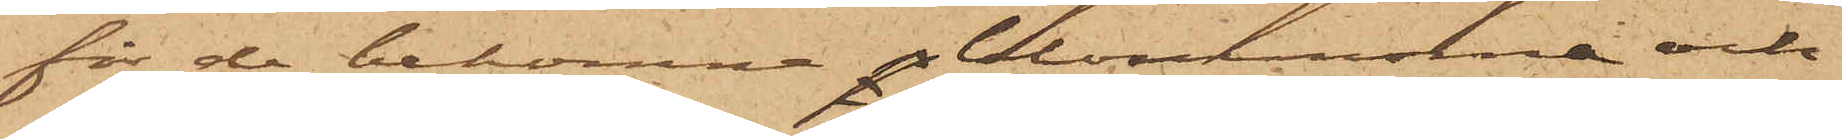för de bekomne p blommorna och
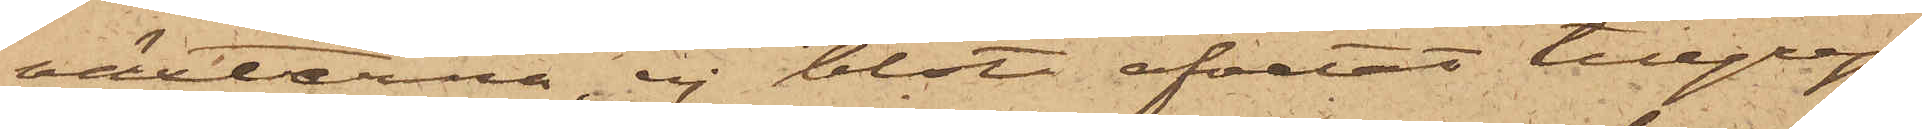växterna, ej blott afvetat tillgrep¬
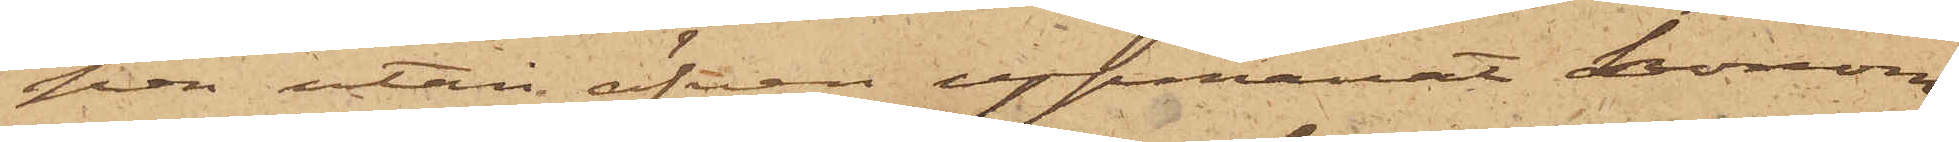pen utan äfven uppmanat honom
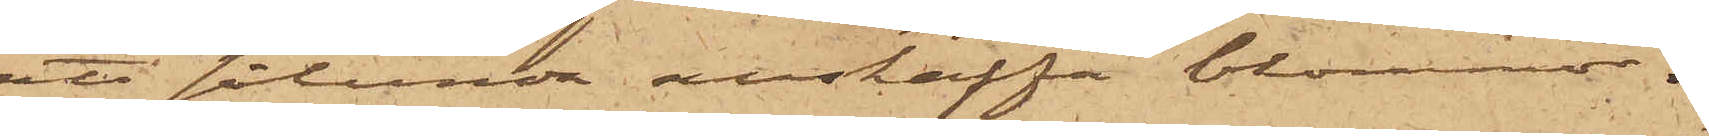att sålunda anskaffa blommor.
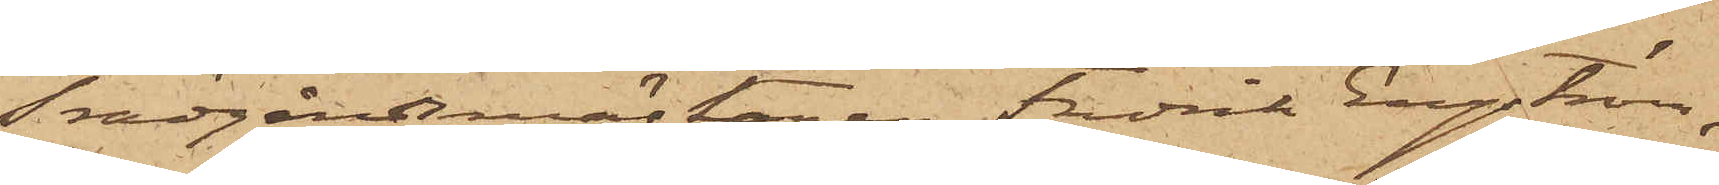Trädgårdsmästaren Fredrik Engström,
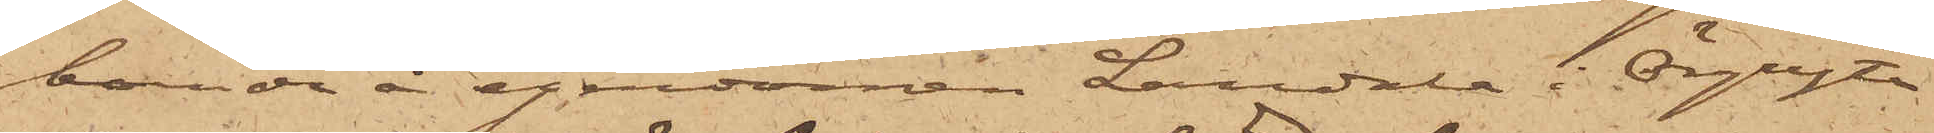bonde å egendomen Landala i Örgryte
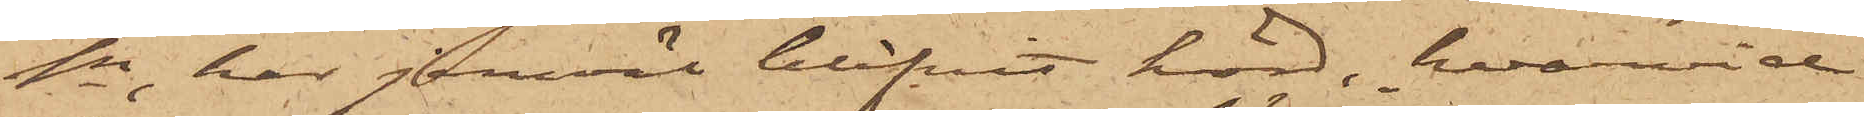sn, har jemväl blifvit hörd, hvarvid
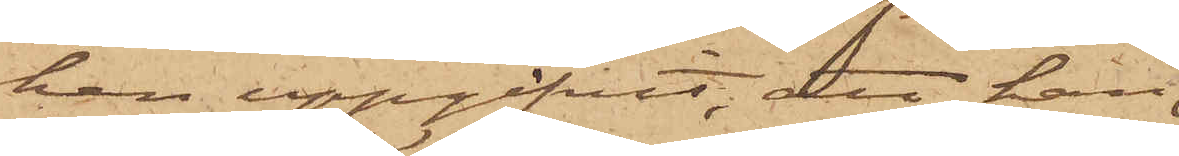han uppgifvit, att han
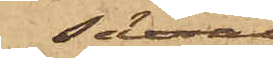såväl
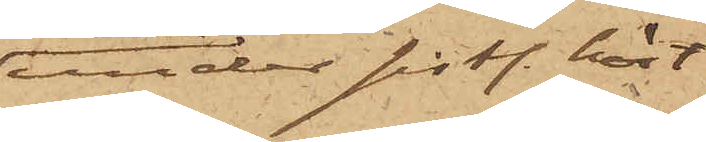under sistl. höst
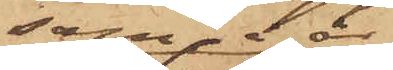som i år
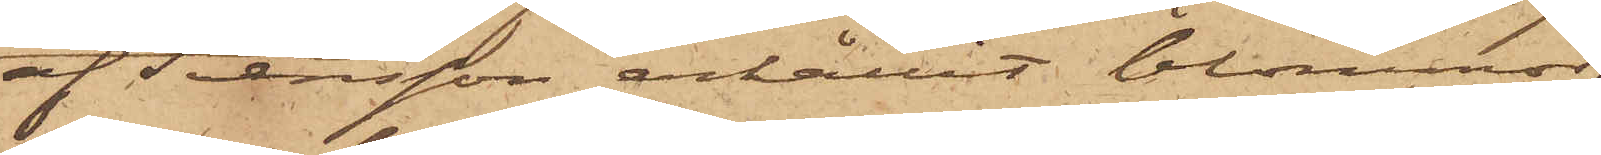af Svensson erhållit blommor,
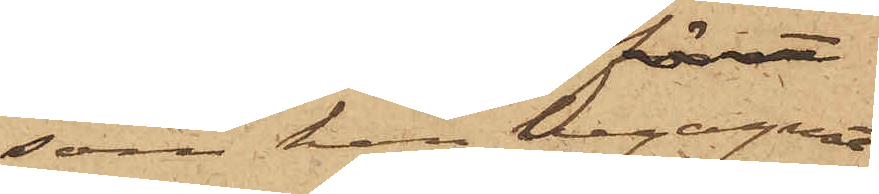som han begagnat
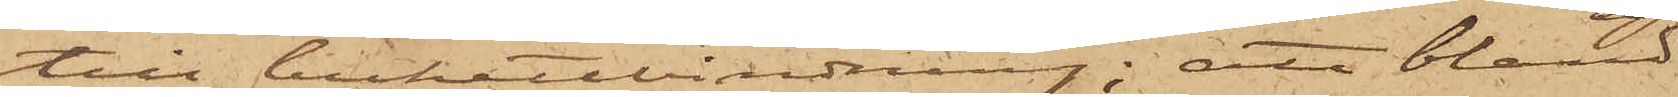till bukettbindning; att bland
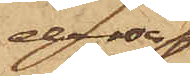dessa
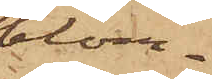blom¬
